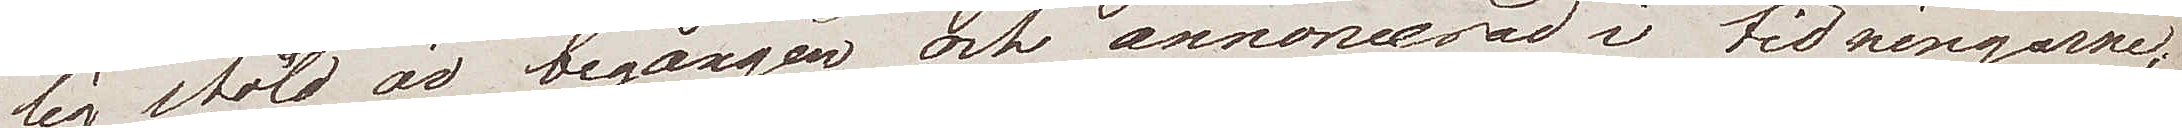lig stöld är begången och annoncerad i tidningarne.
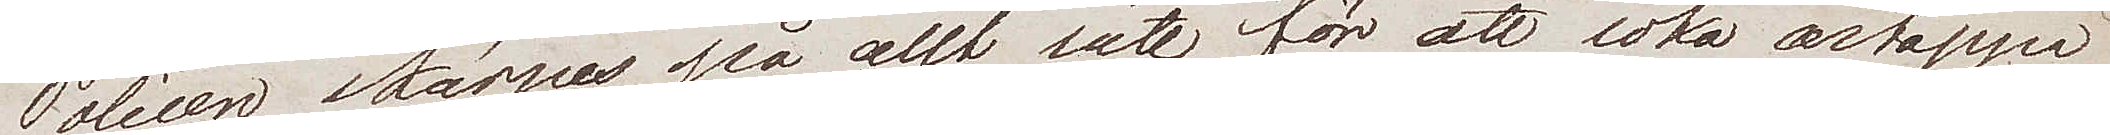Polisen stångas på allt sätt för att söka ärtappa
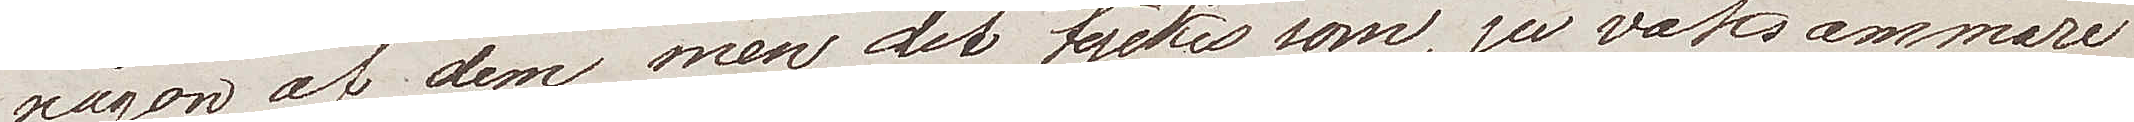någon av dem, men det tycks som, ju vaksammare
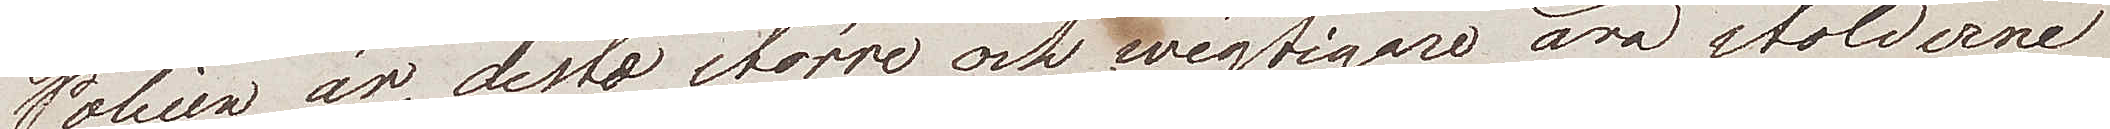Polisen är, desto större och wigtigare äro stölderna
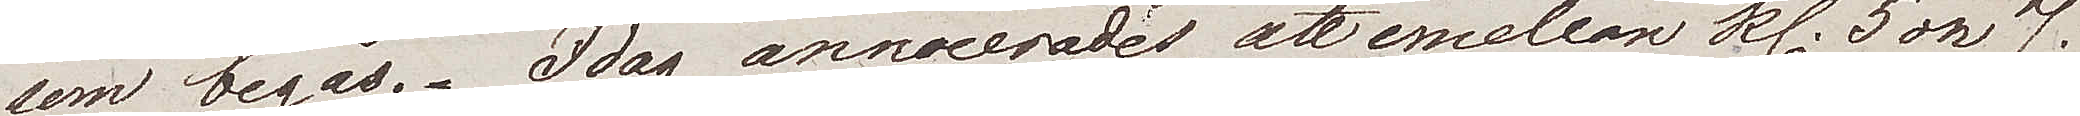som begås. Idag annoncerades, att emellan kl. 5 och 7
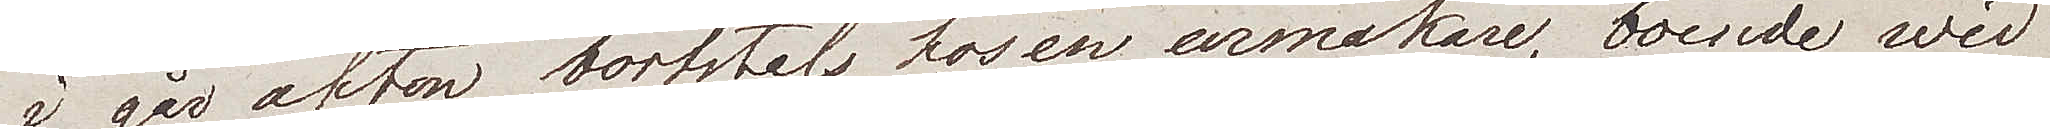i går afton bortstals hos en urmakare, boende wid
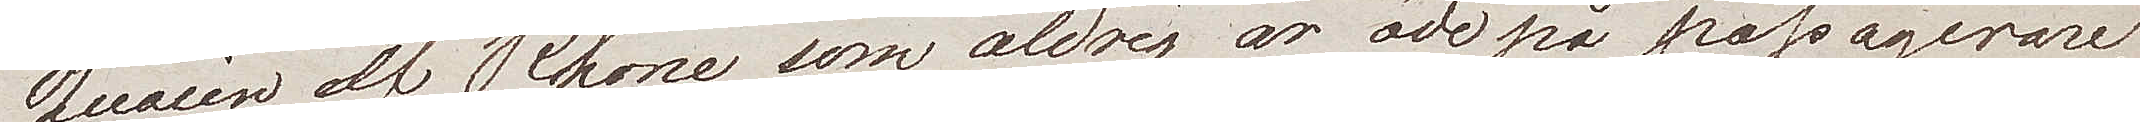Quaien af Rhone, som aldrig är öde på passagerare,
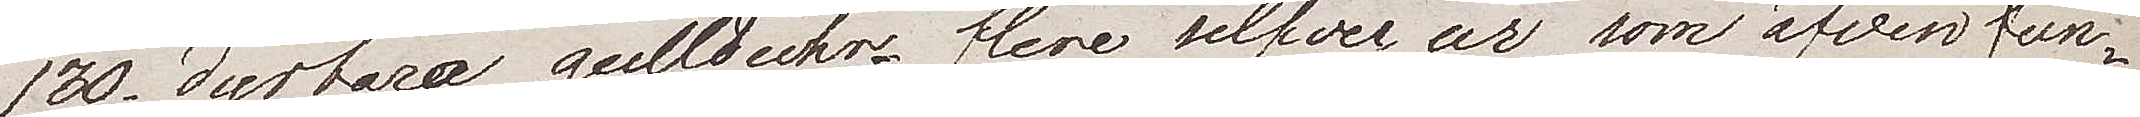130 dyrbara guldklockor; flere silfverur som äfven fun¬
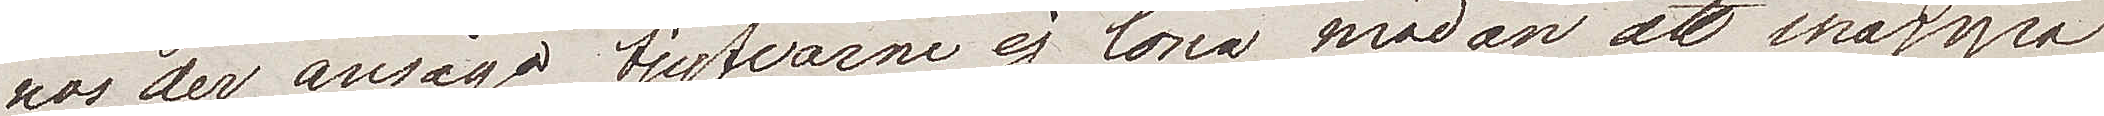nos der ansågo tjufvarna ej löna mödan att nappa
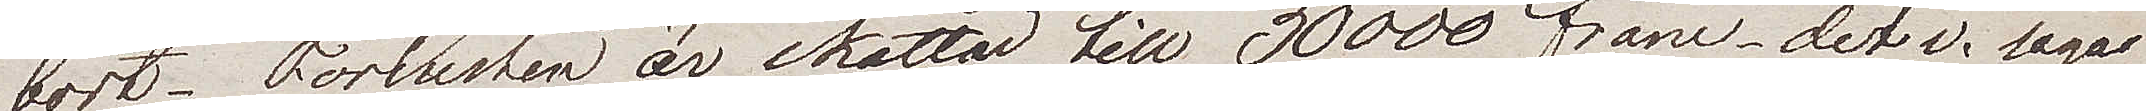bort. Förlusten är skattad till 30000 franc, det v. säga
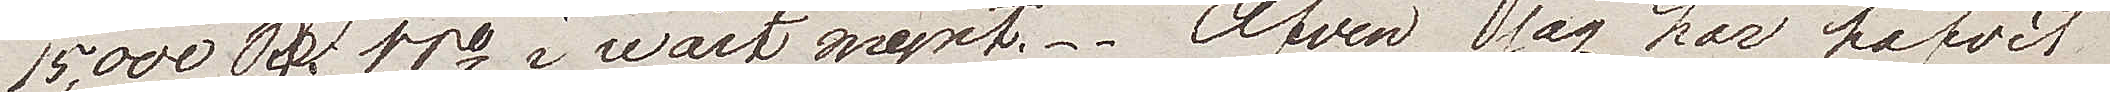15,000 Rdr ppo i wårt mynt. Äfven jag har hafvit
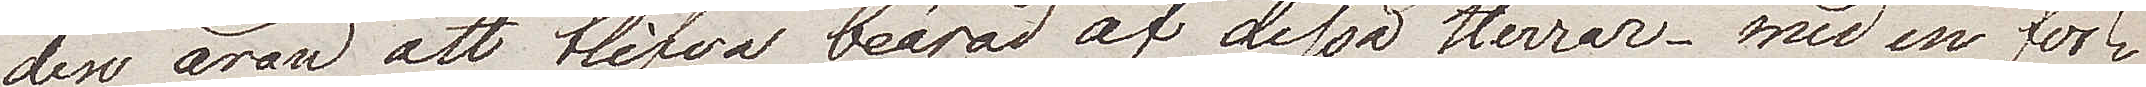den äran att blifva beärad af dessa Herrar – med en för¬
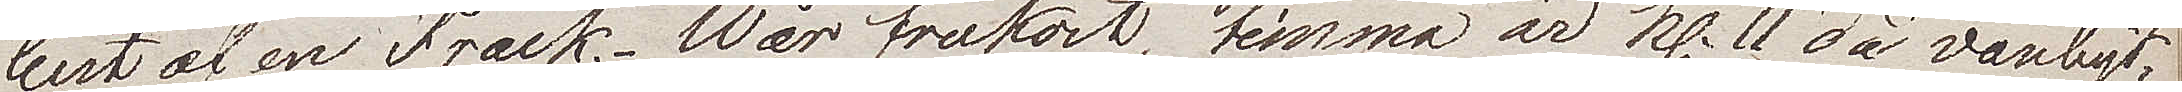lust af en Frack. Wår frukost timma är kl. 11 då vanligt¬
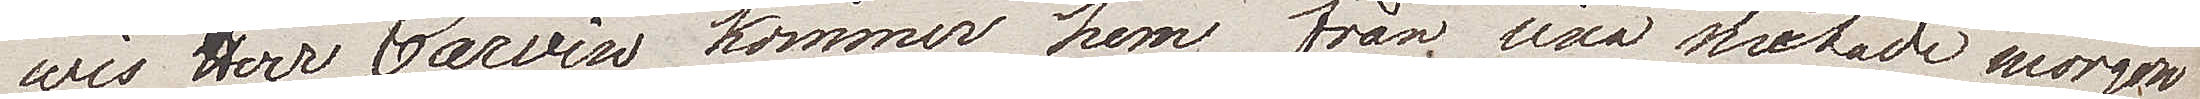wis Herr Carvin kommer hem från sina slutade morgon¬
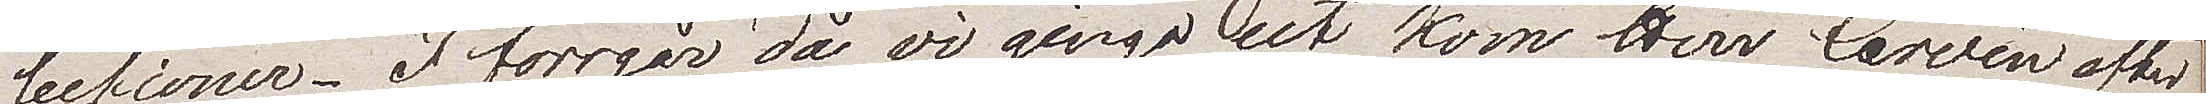lektioner. I förrgår då vi gingo ut kom Herr Carvin efter
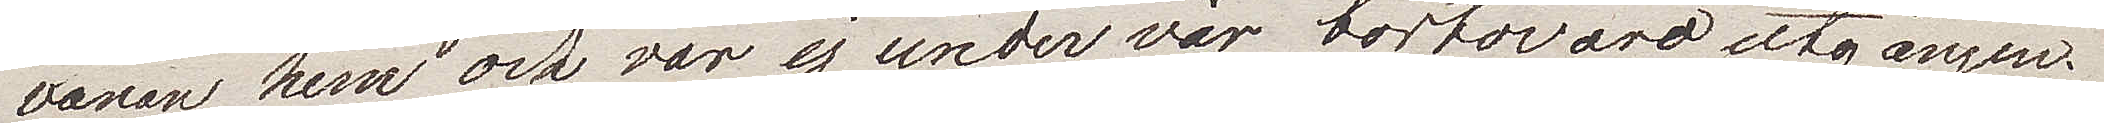vanan hem och var ej under vår bortovaro utgången.
